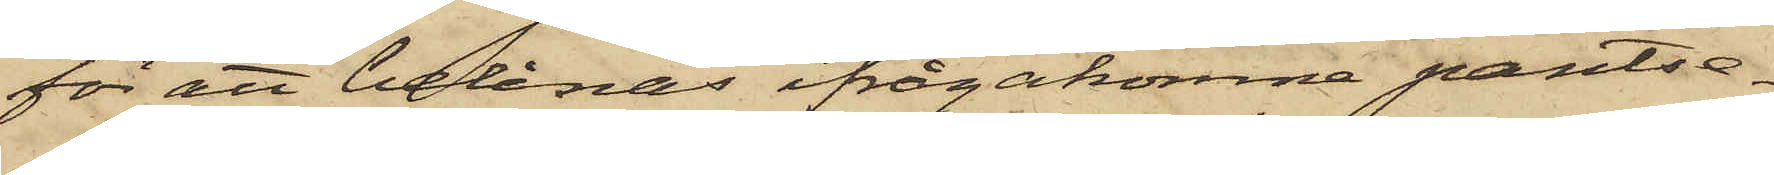för att belånas ifrågakomne pantse¬
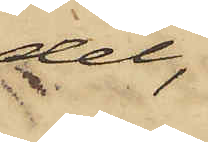del,
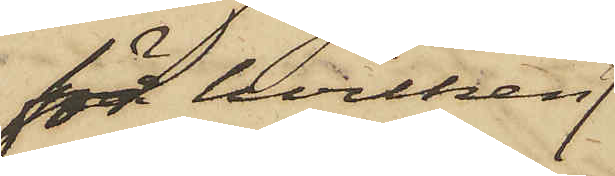för hvilken
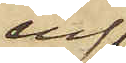enl
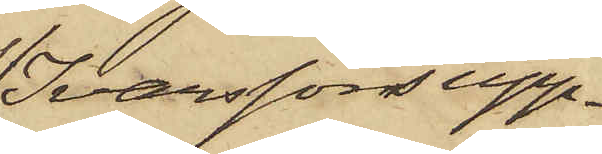Ivarssons upp¬
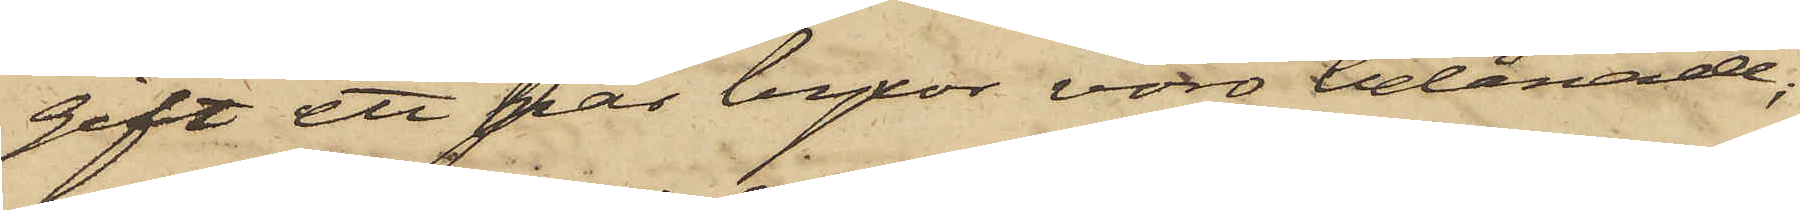gift ett par byxor voro belånade;
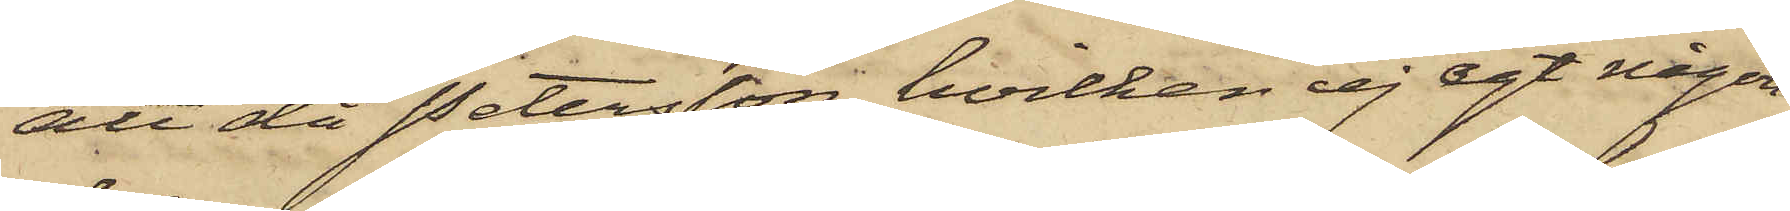att då Petersson, hvilken ej egt någon
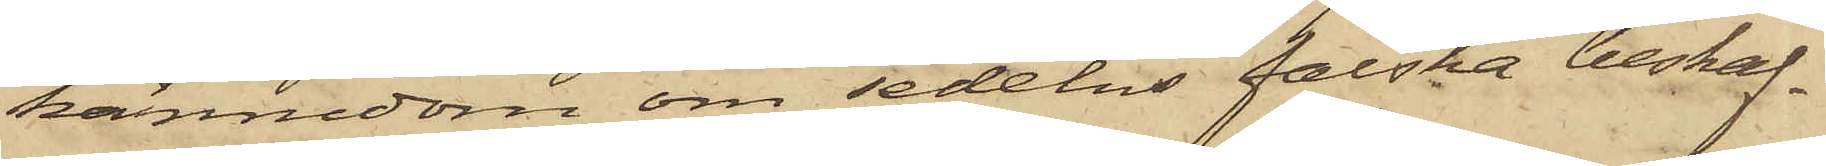kännedom om sedelns falska beskaf¬
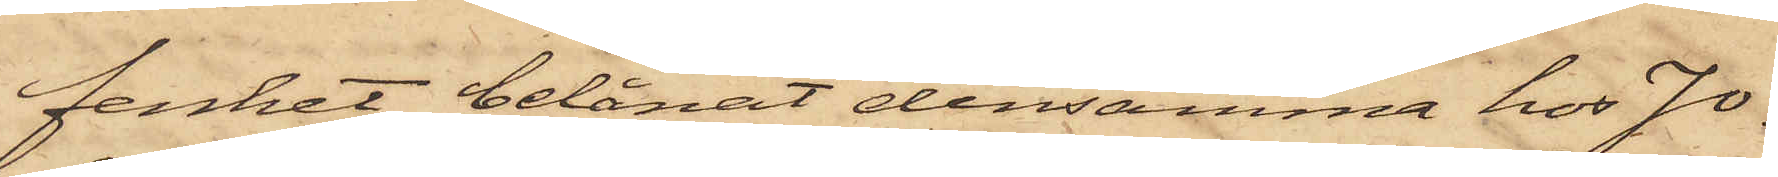fenhet belånat densamma hos Jo¬
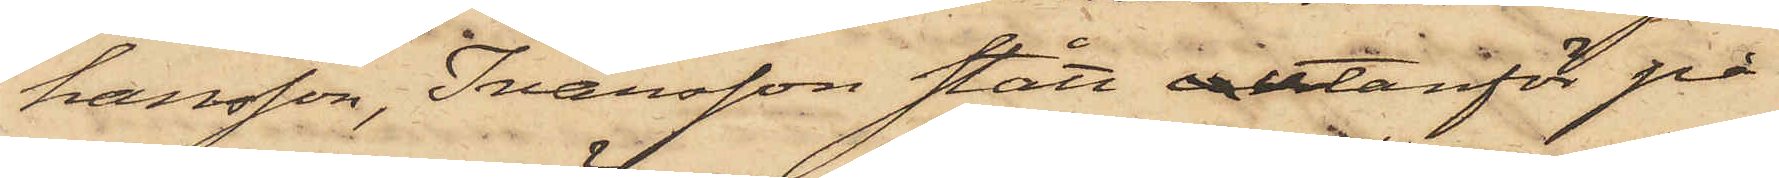hansson, Ivarsson stått utanför på
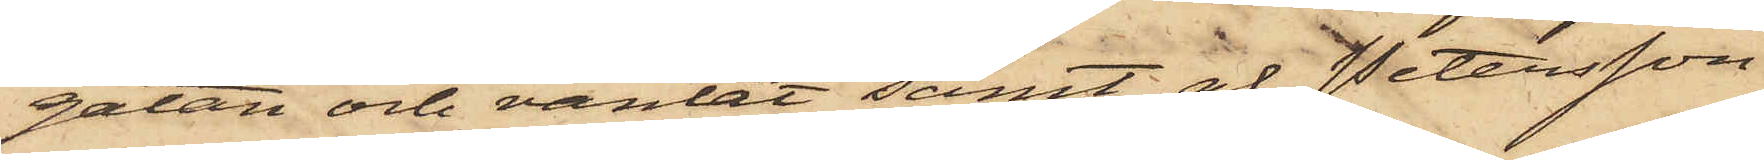gatan och väntat samt af Petersson
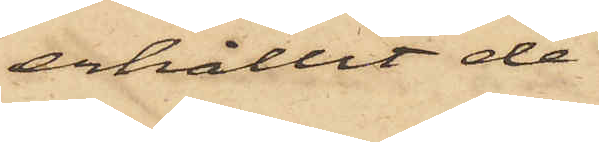erhållit de
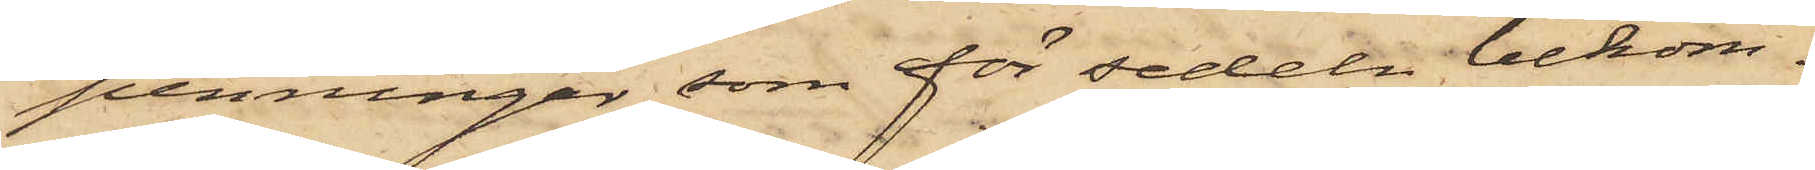penningar, som för sedeln bekom¬
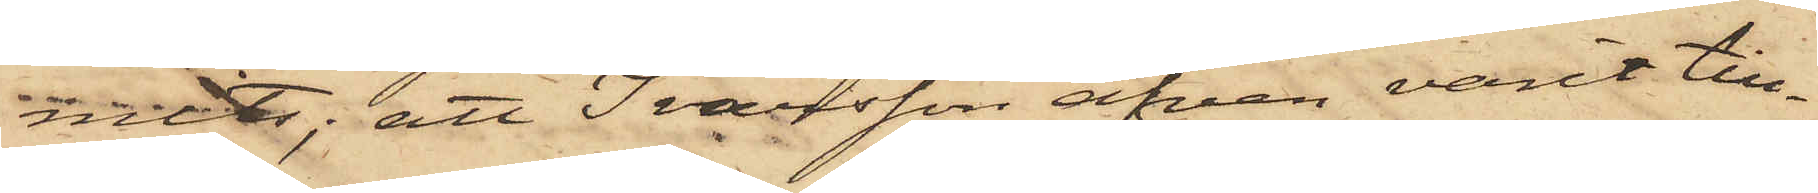mits; att Ivarsson äfven varit till¬
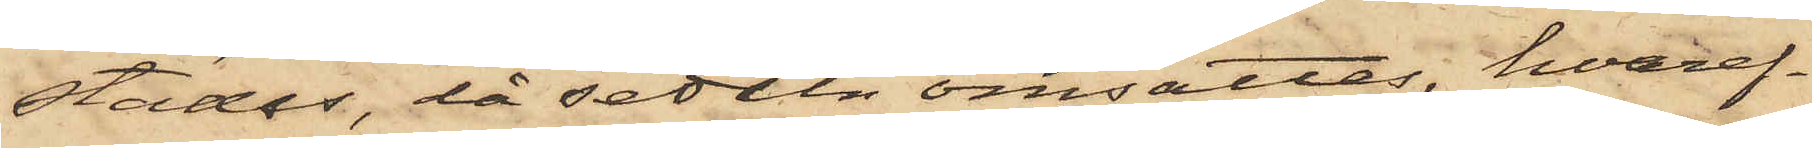städes, då sedeln omsattes, hvaref¬
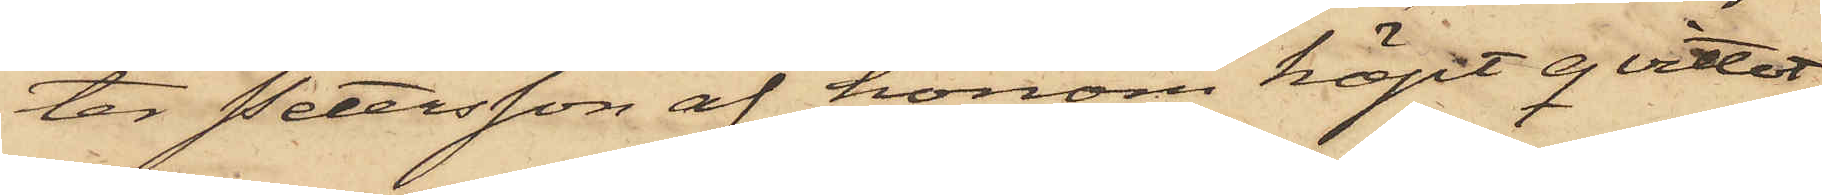ter Petersson af honom köpt qvittot;
